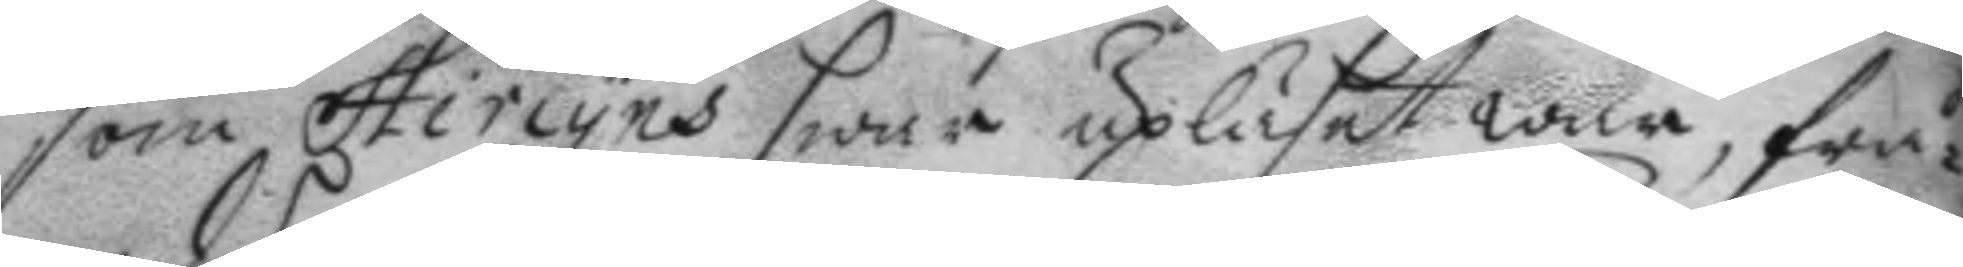som Hircyns swar upläset war, frå¬
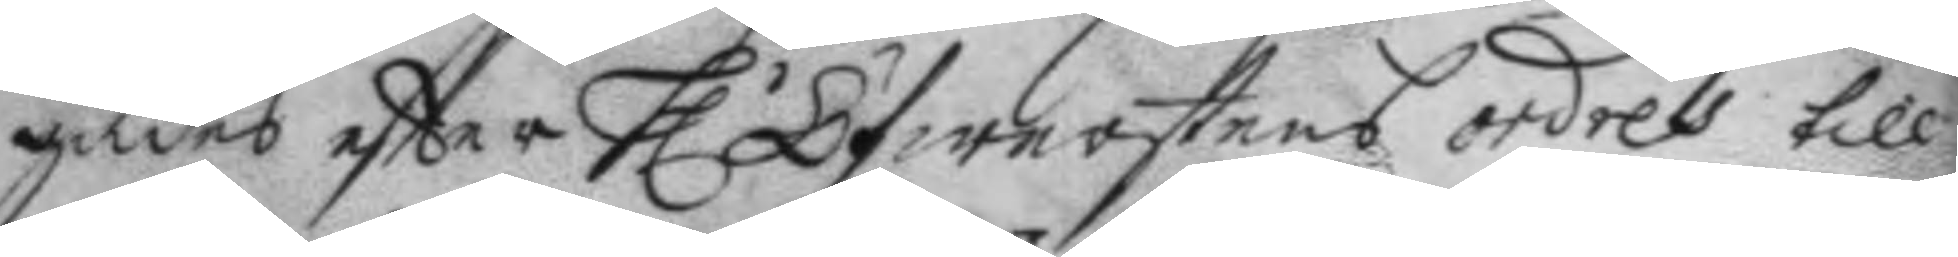gades eftter h.r Öfwerstens ordres till
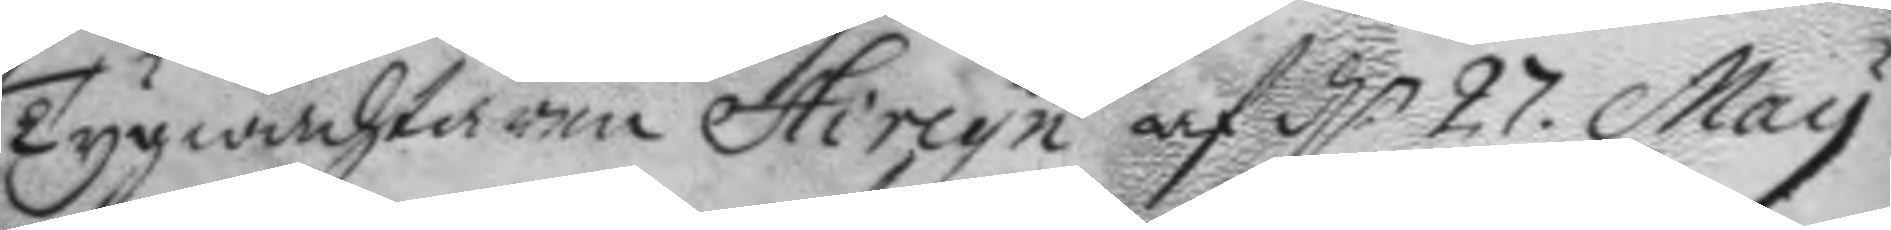tygwachtaren Hircyn af d.n 27. May
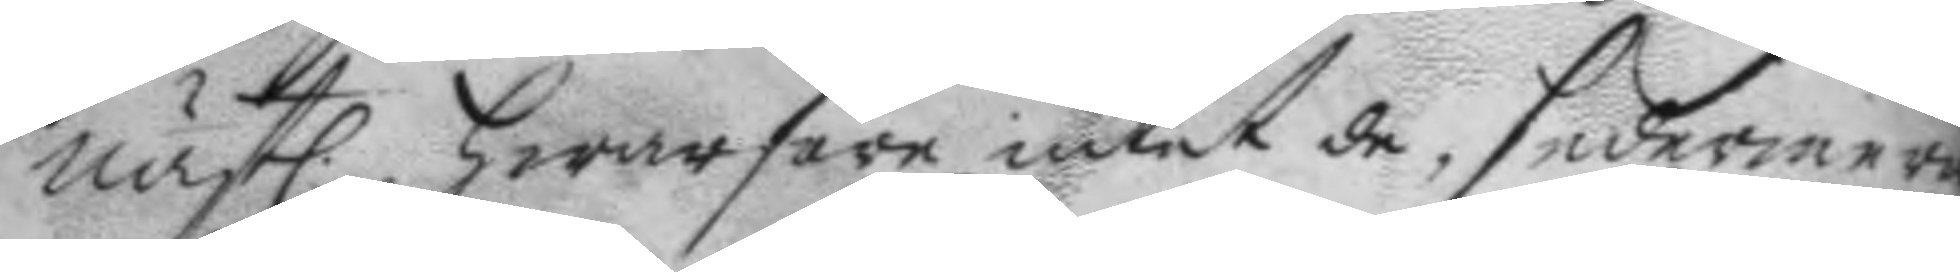nästl. hwarföre intet de, sedermera
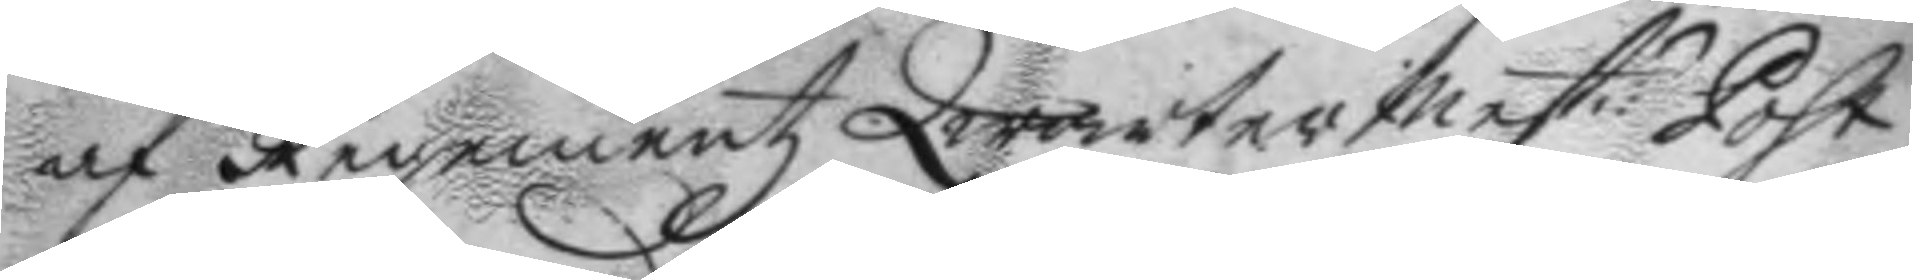af Regementz Qwartersmest:n Post
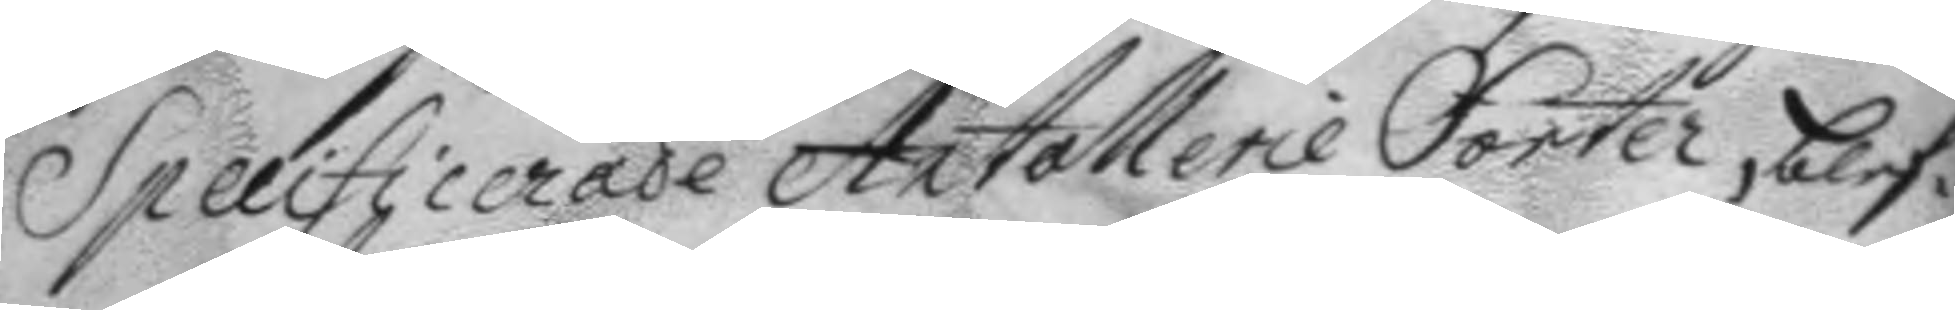Specificerade Artollerie Forter, blef¬
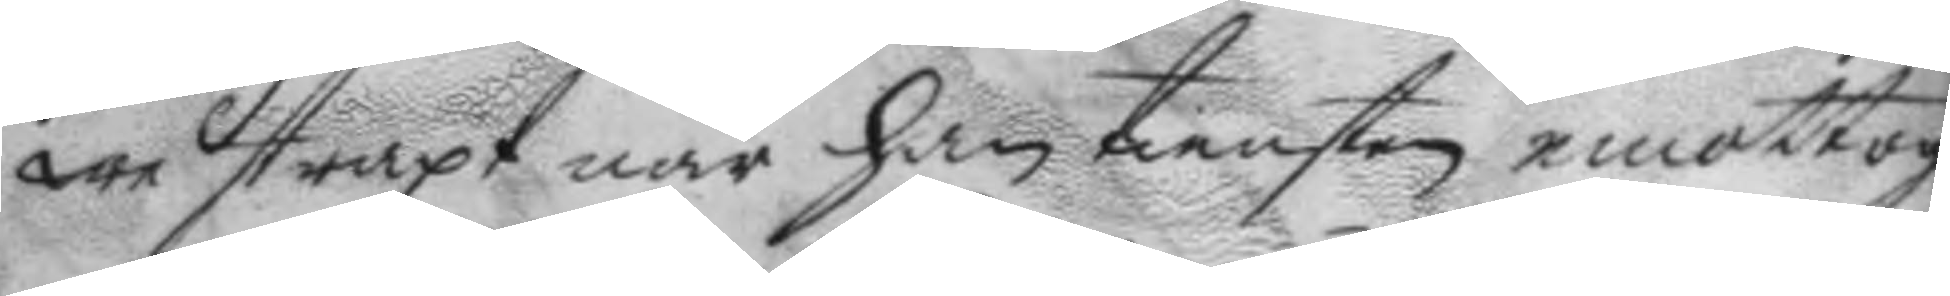we straxt när han tiensten emottog
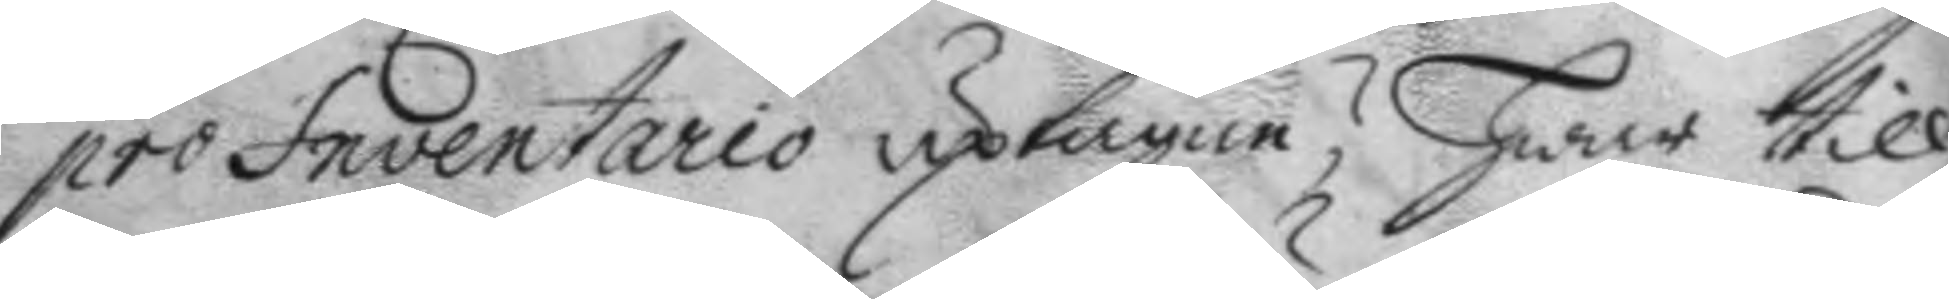pro Inventario uptagne? hwar till
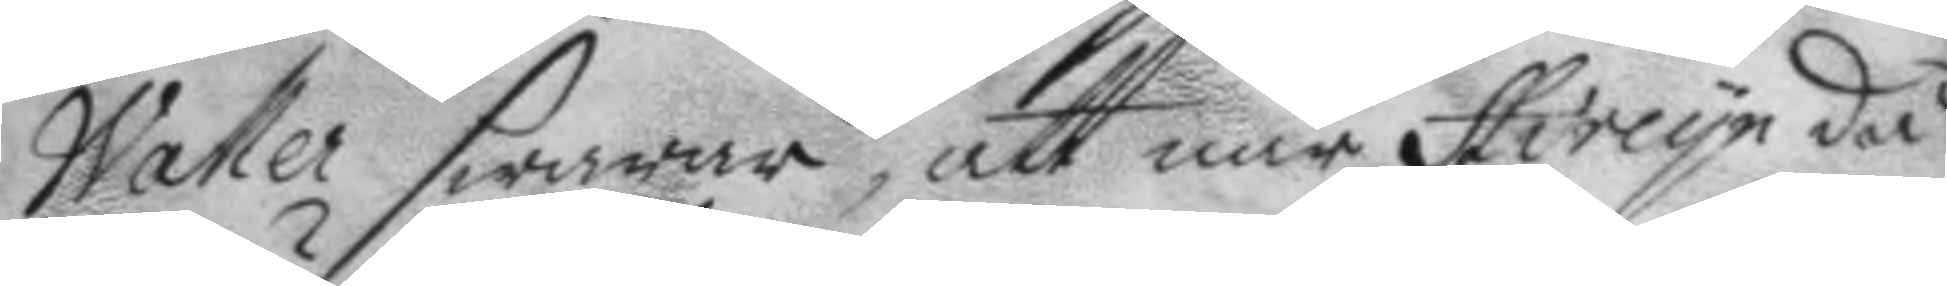Waller swarar, att när Hircyn då
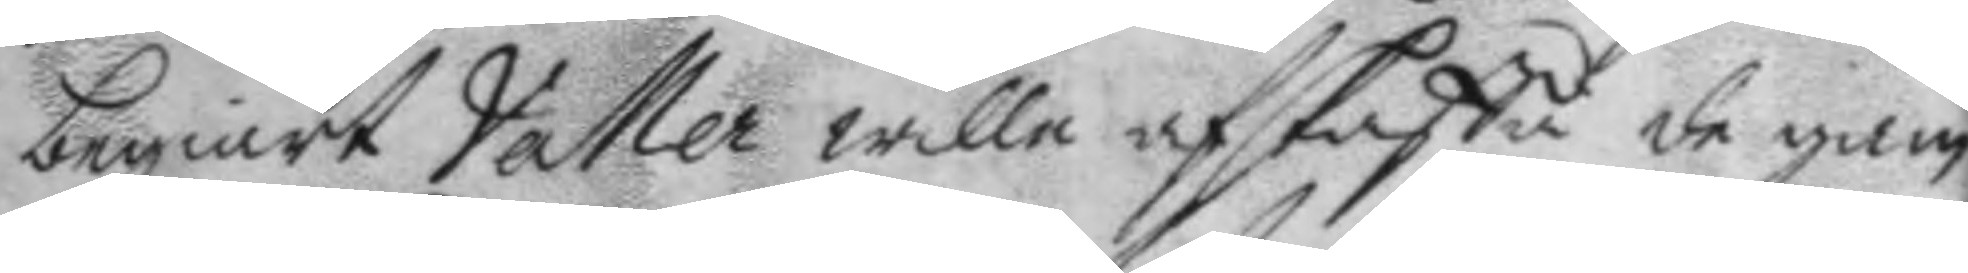begiärt Valler wille afskaffa de gam¬
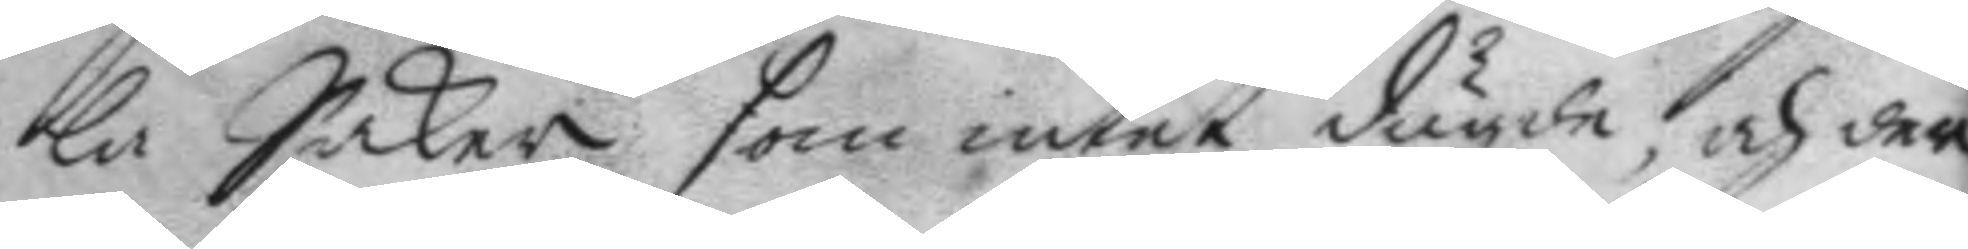la Saker som intet dugde, och der
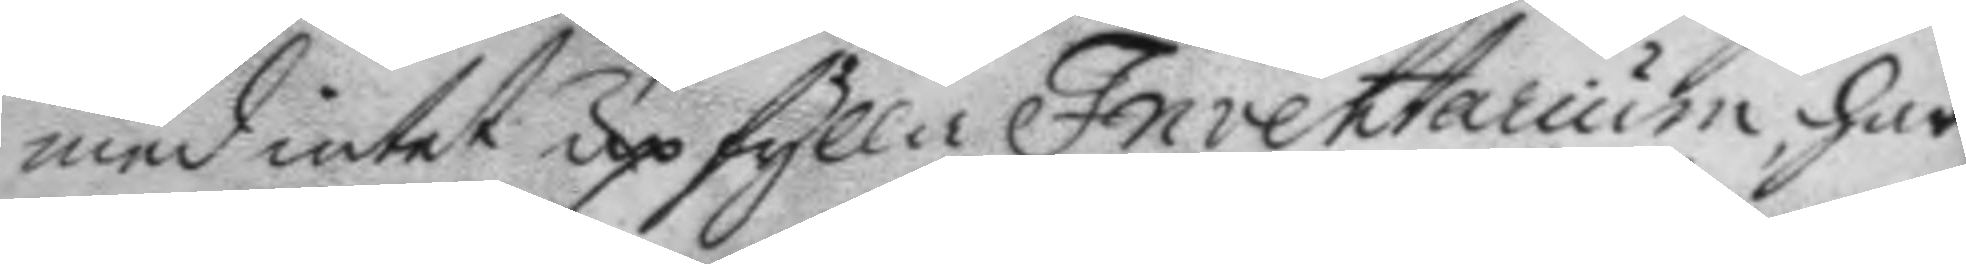med intet upfylla Inventarium, har
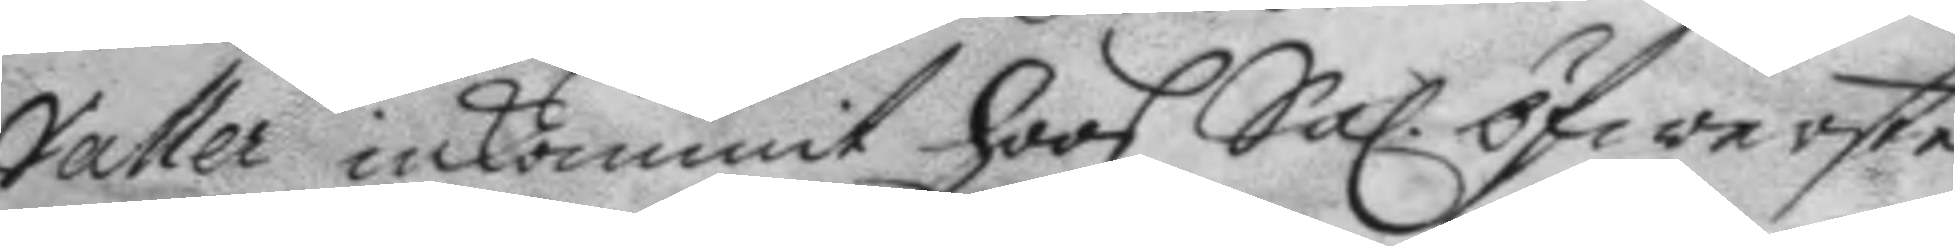Valler inkommit hoos Sal: öfwerste
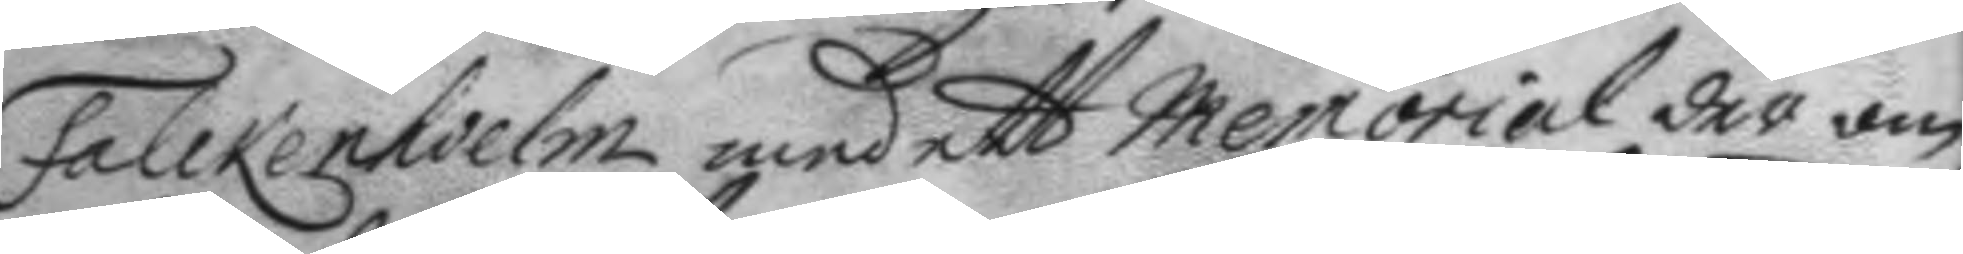Falckenhielm med ett Memorial der om,
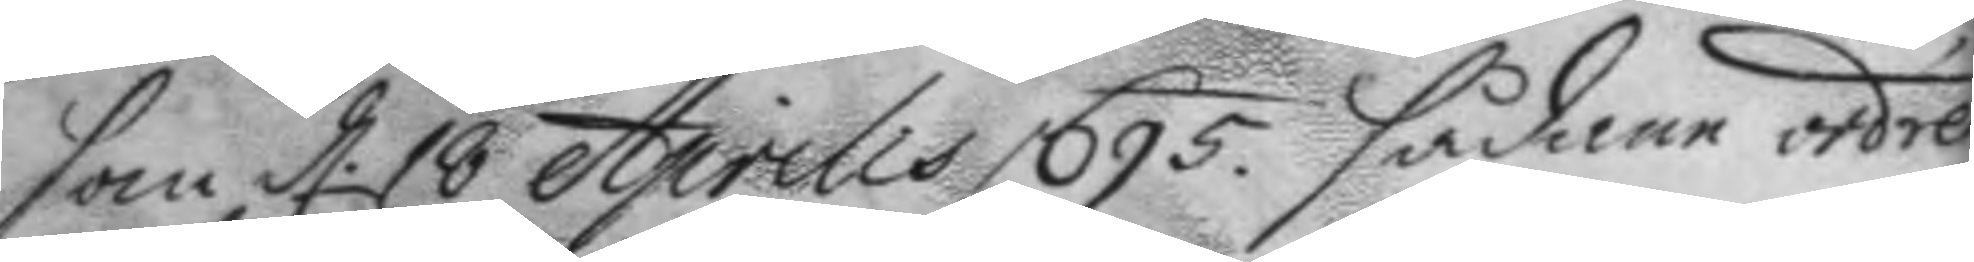som d. 18 Aprilis 1695 sådane ordre
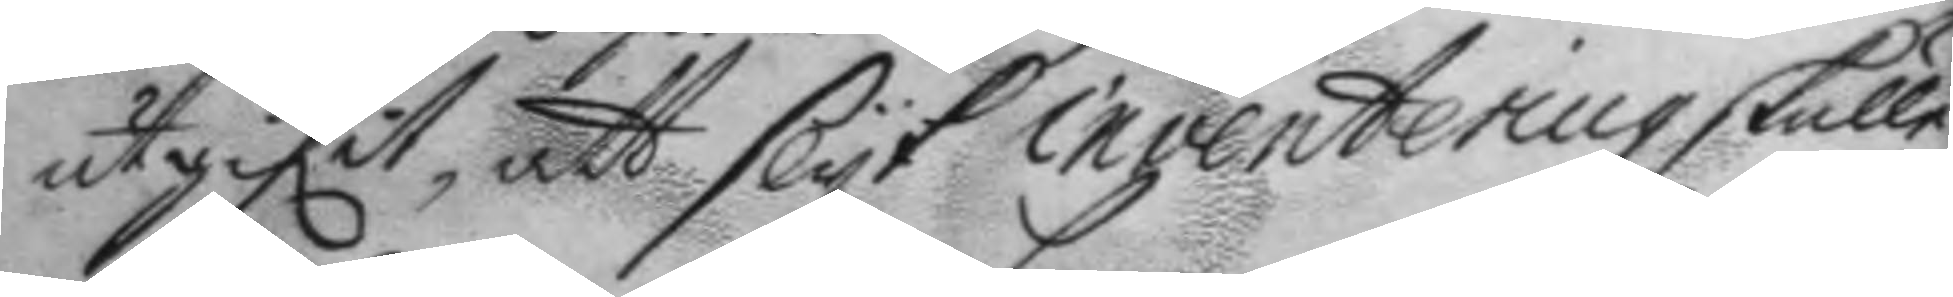utgifit, att slyk inventering skulle
